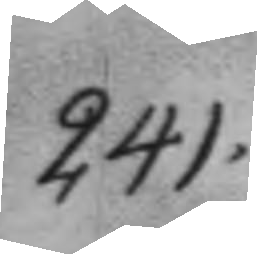241.
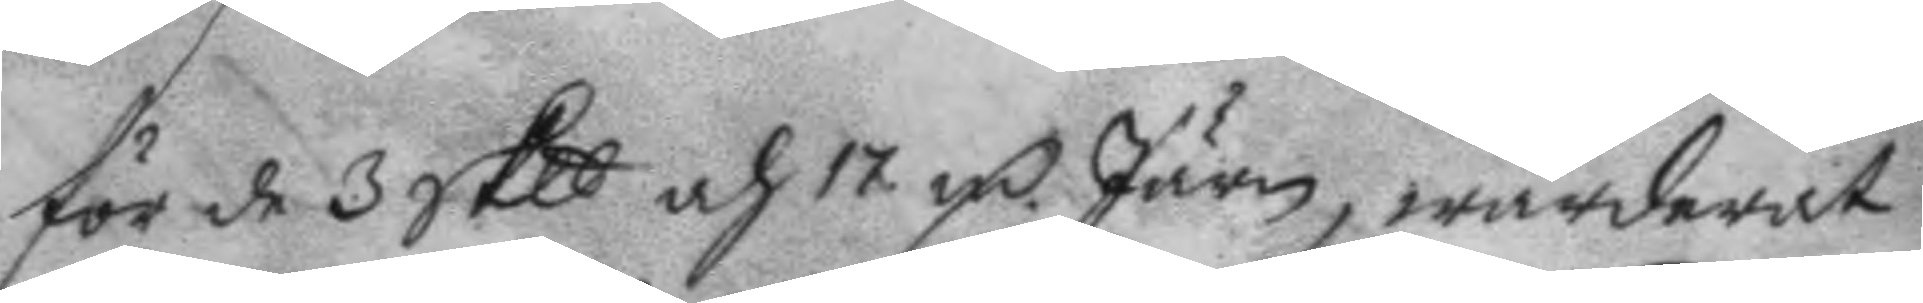för de 3 Sklt och 17 mC Järn, wärderat
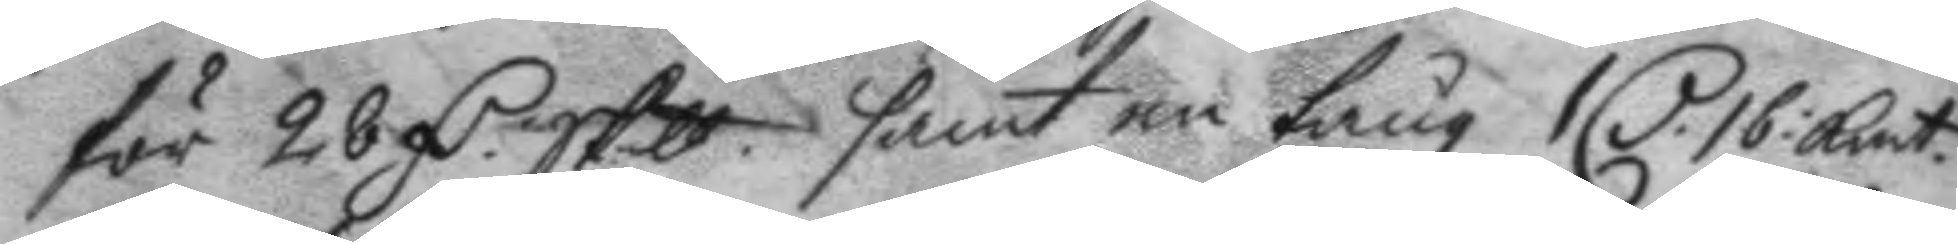för 28 mC Sktt samt en tång 1 C. 16: Kmt. 
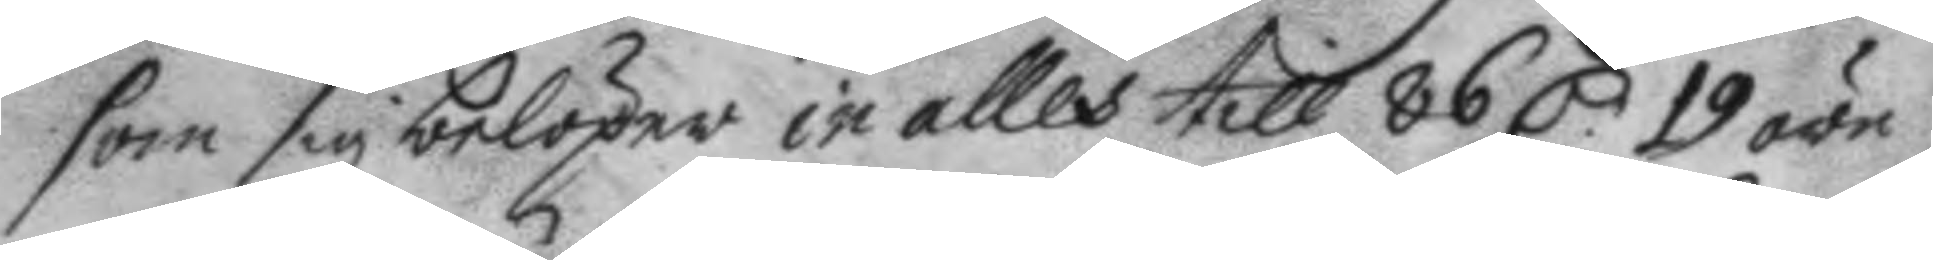som sig belöper in alles till 86 C. 19 öre
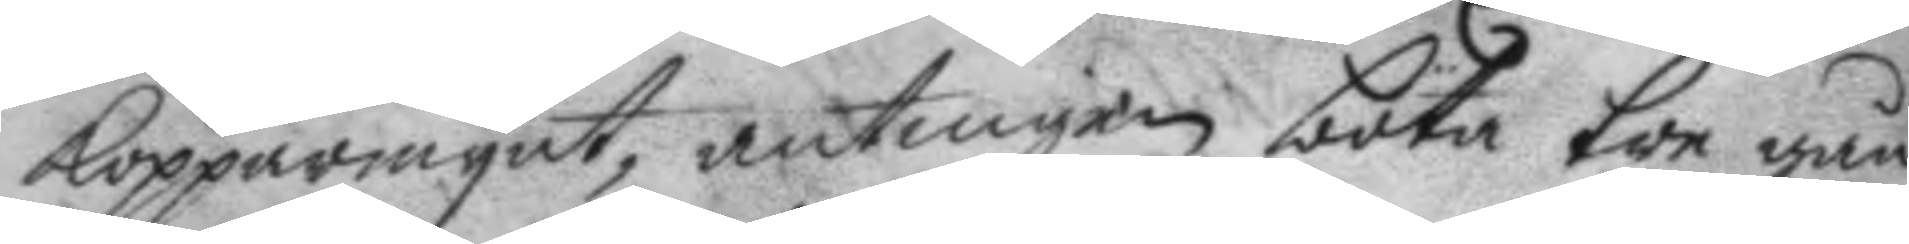kopparmynt, antingen böta tre gån¬
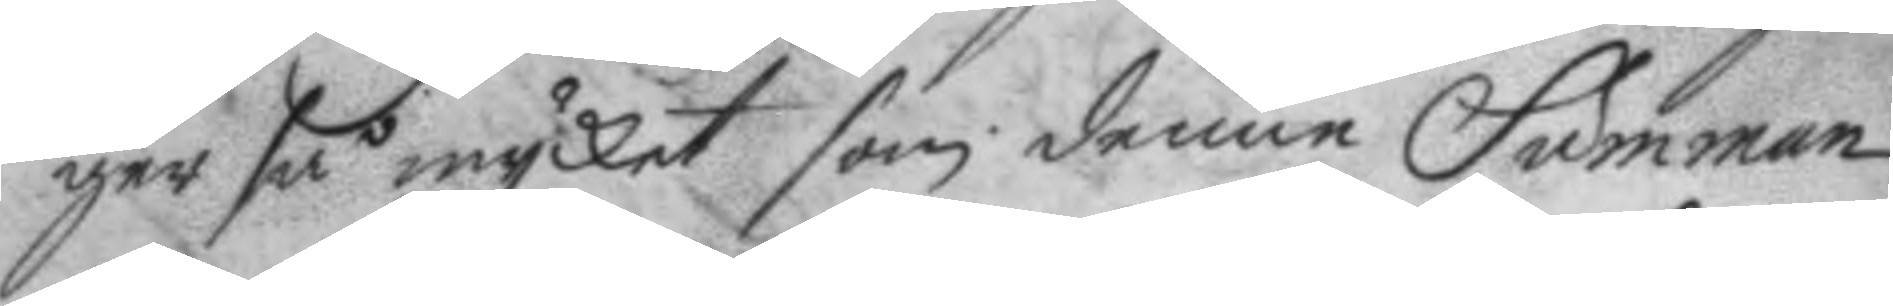ger så mycket som denne Summan
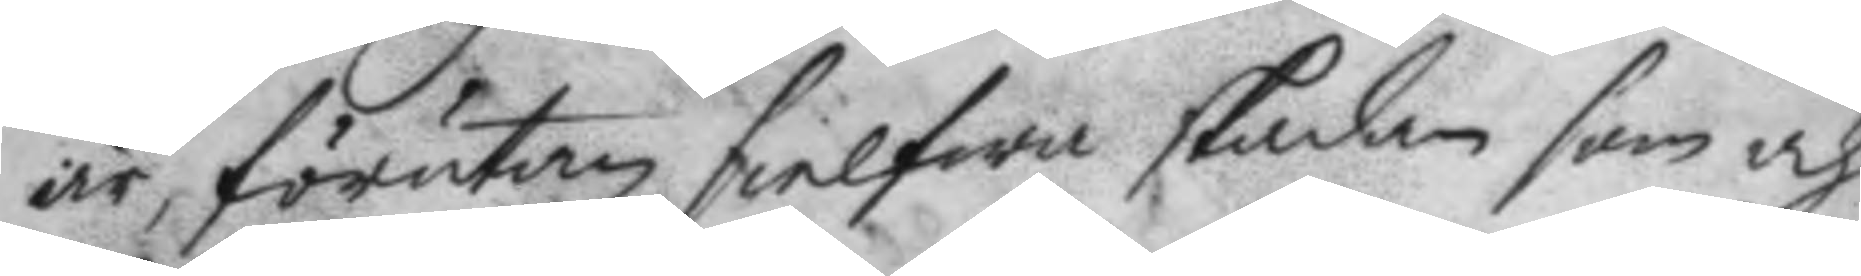är, förutan sielfwa skadan som och
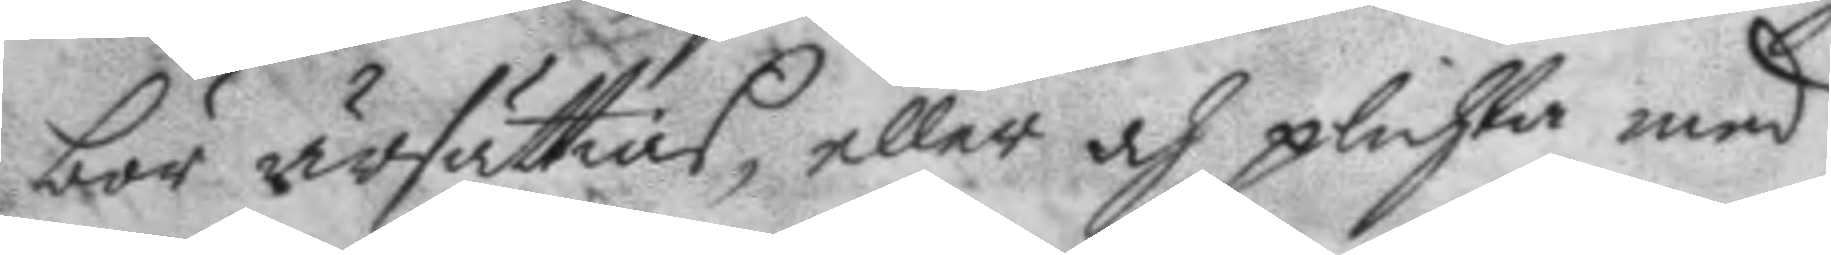bör ärsättias, eller och plichta med
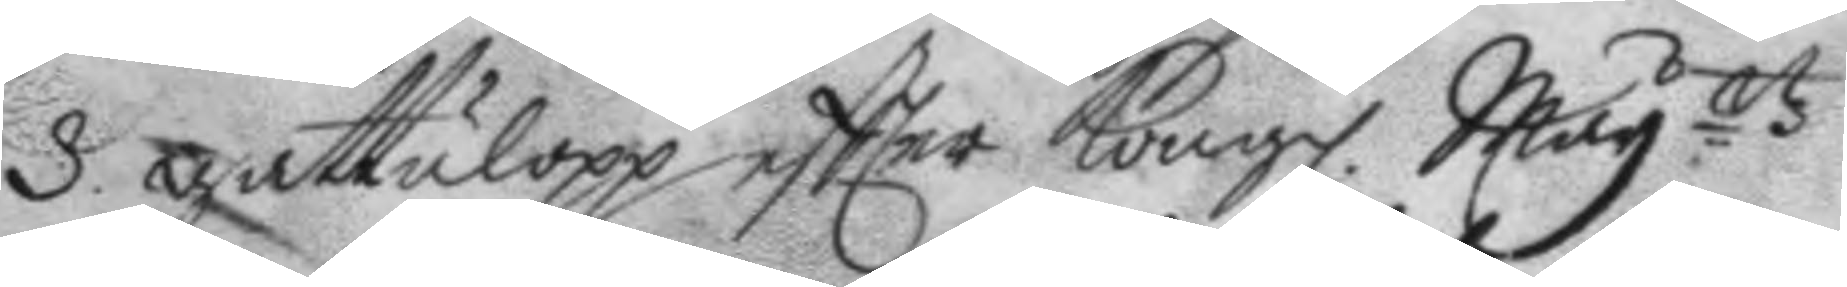3. gattulopp eftter Kongl. May.ttz
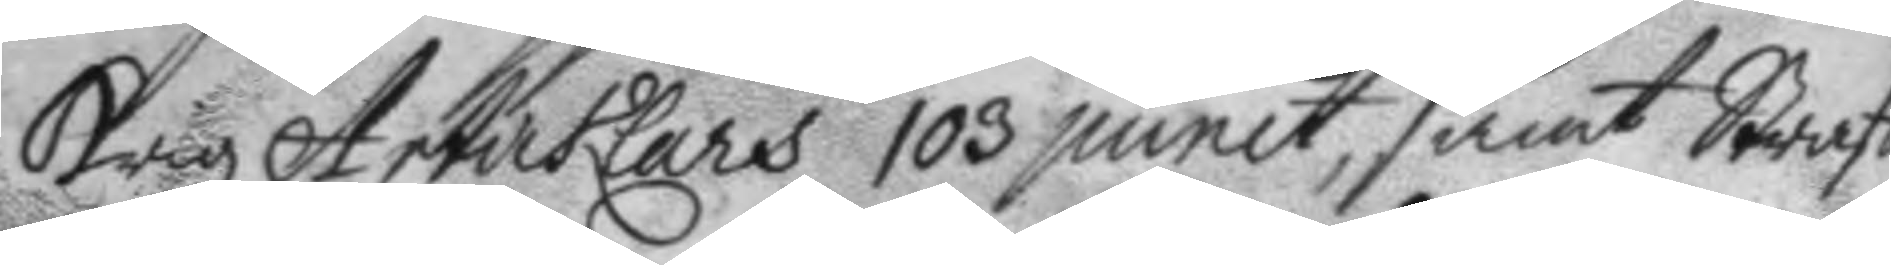krigz Artiklars 103 punct, samt Straff¬
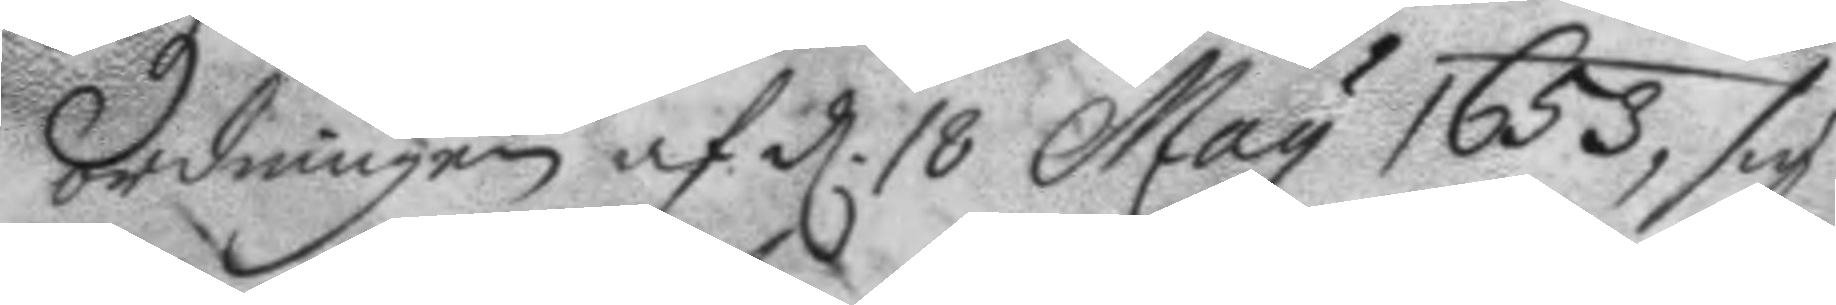ordningen af d. 18 May 1653, sig
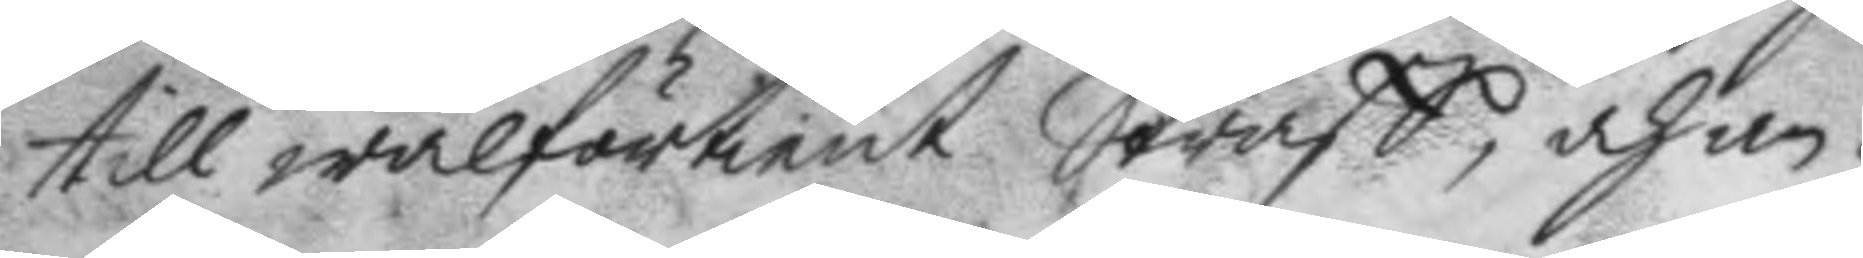till wälförtient Straff, och an¬
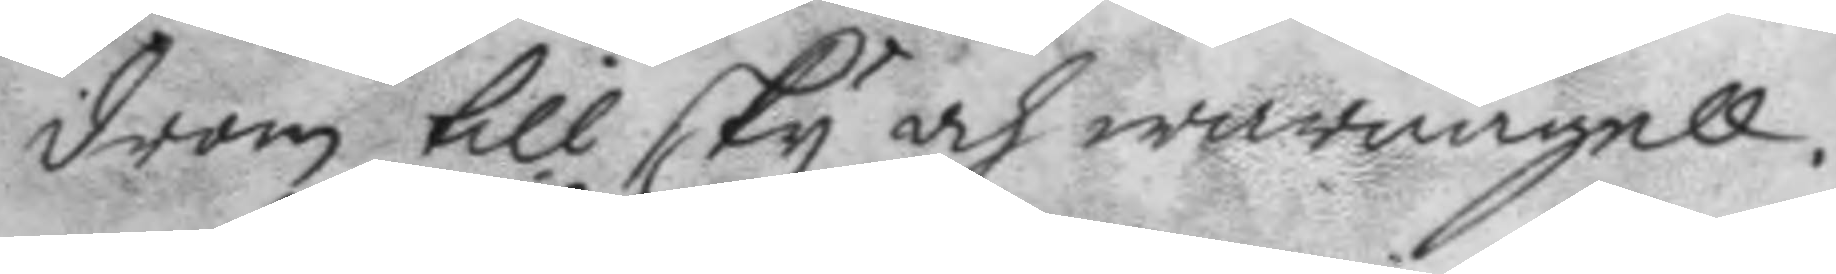drom till sky och warnagell.
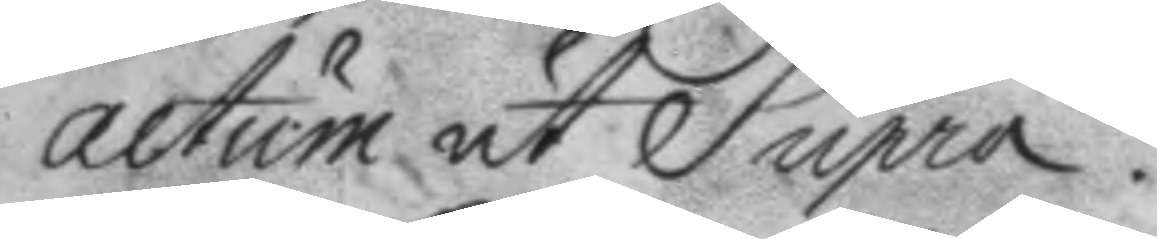actum ut Supra.
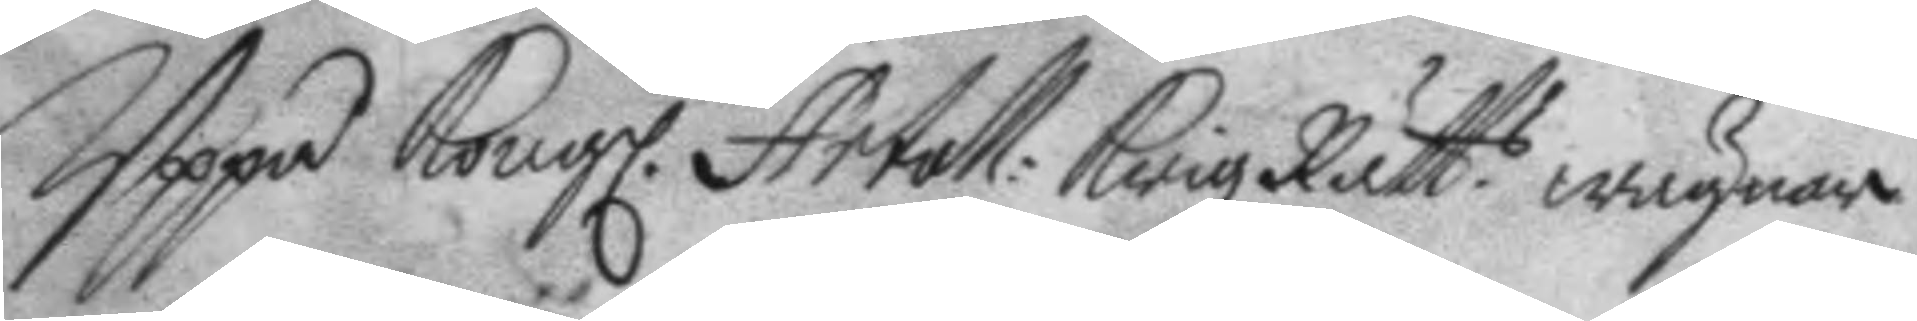Uppå Kongl. Artoll: KrigzRätt.s wägnar
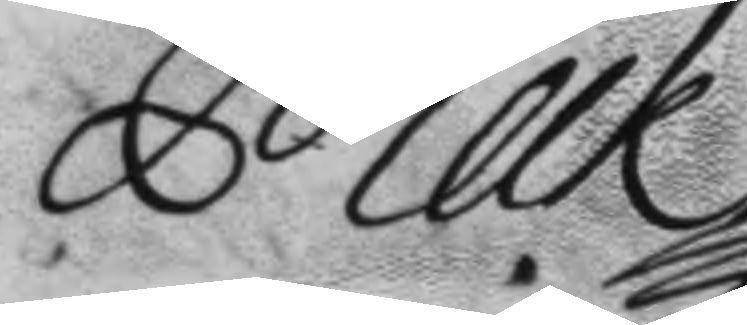Melk
